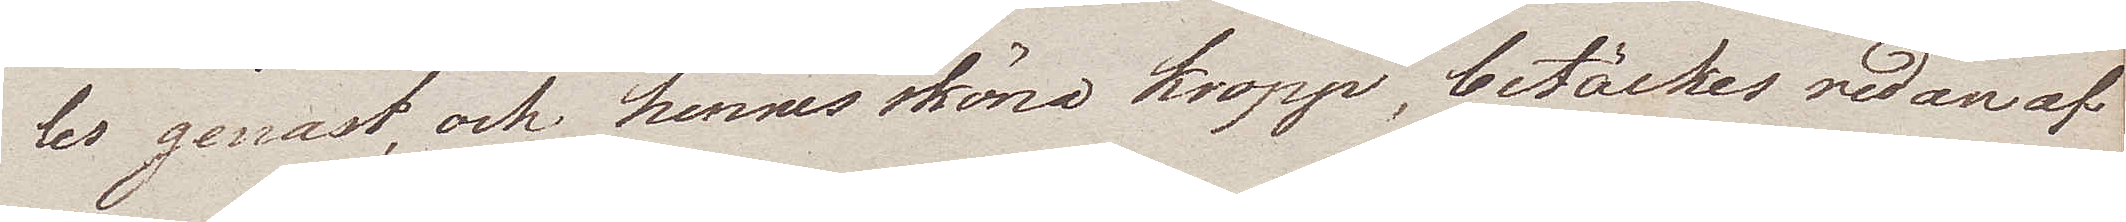les genast, och hennes sköna kropp, betäckes redan af
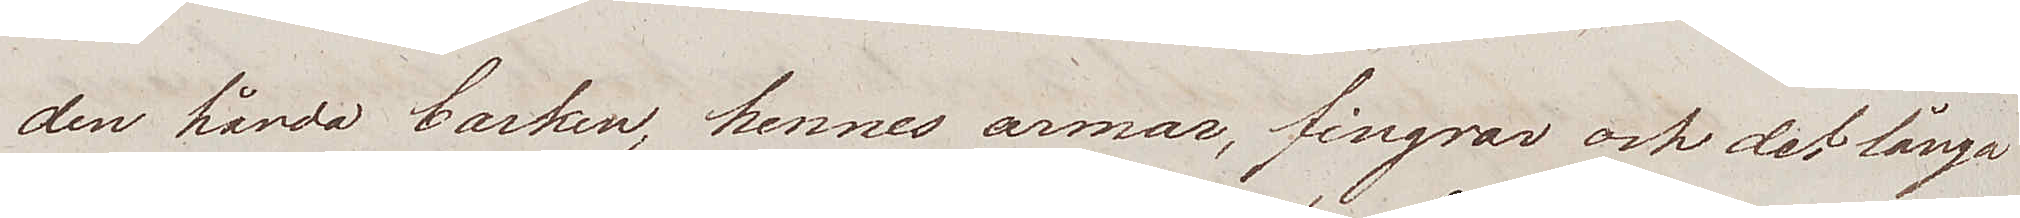den hårda barken, hennes armar, fingrar och det långa
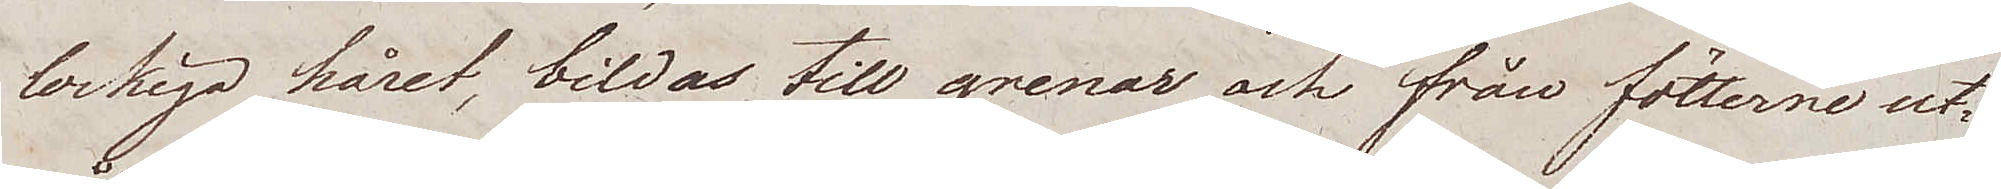lockiga håret, bildas till grenar och från fötterne ut¬
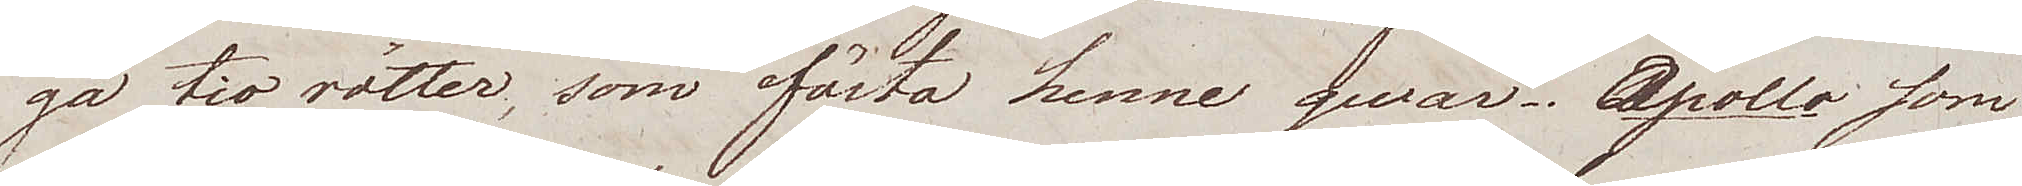gå tio rötter, som fästa henne qwar. Apollo som
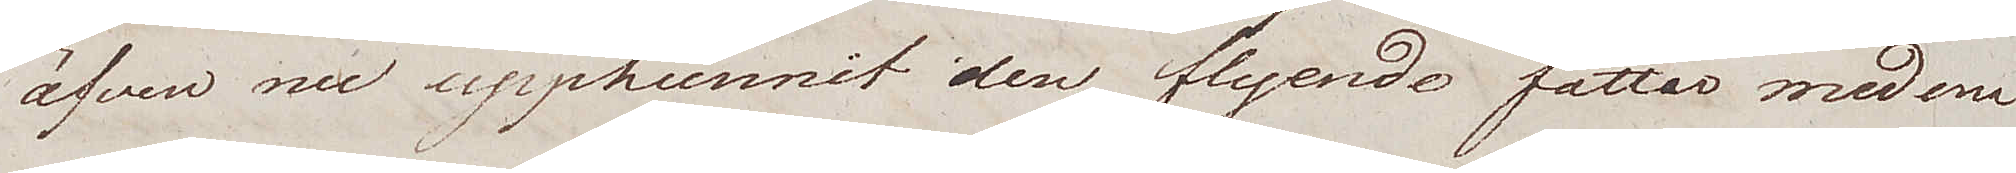äfven nu upphunnit den flyende fattar med ena
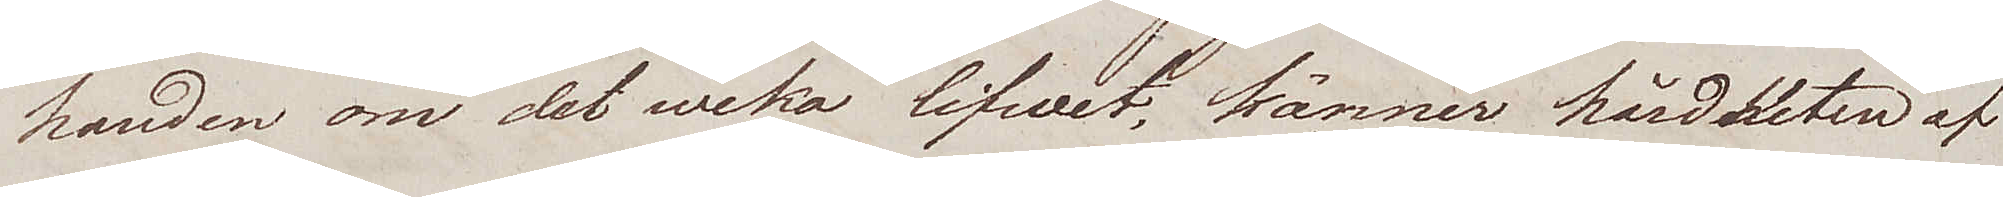handen om det weka lifwet, känner hårdheten af
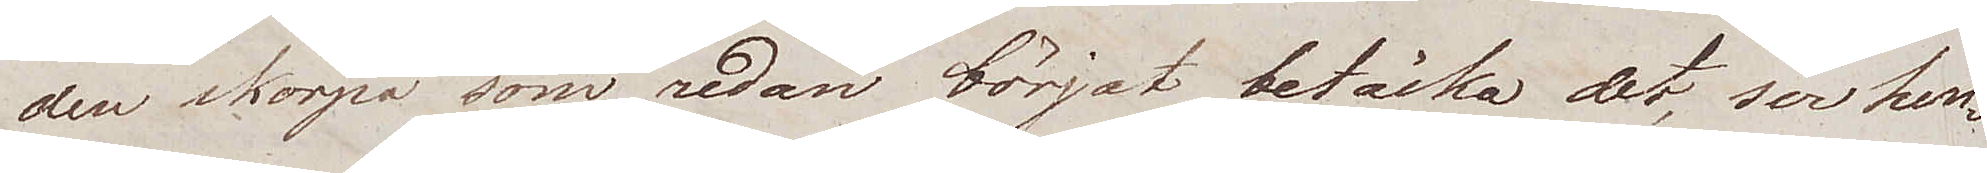den skorpa som redan börjat betäcka det ser, hen¬
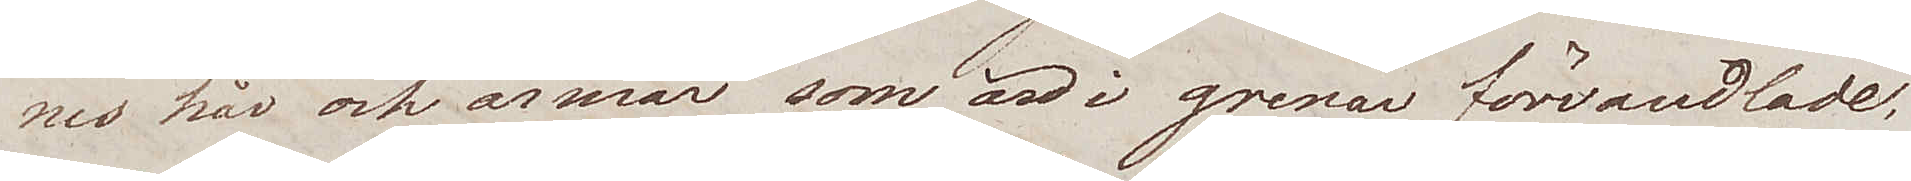nes hår och armar som är i grenar förvandlade;
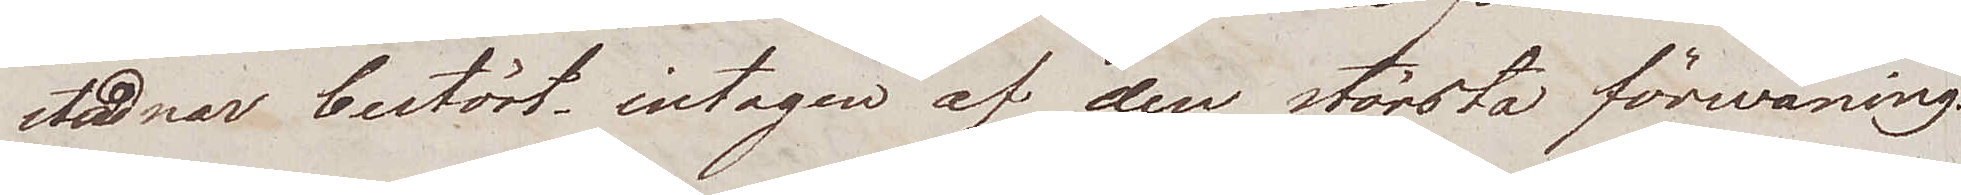stadnar bestört, intagen af den största förwåning.
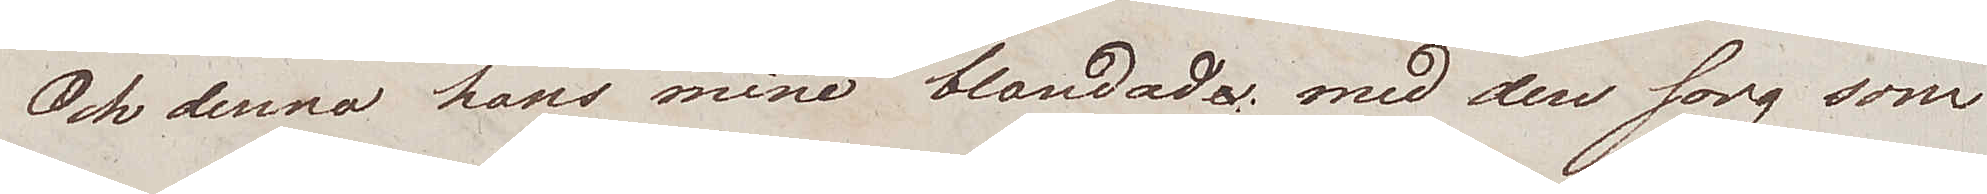Och denna hans mine blandade, med den sorg som
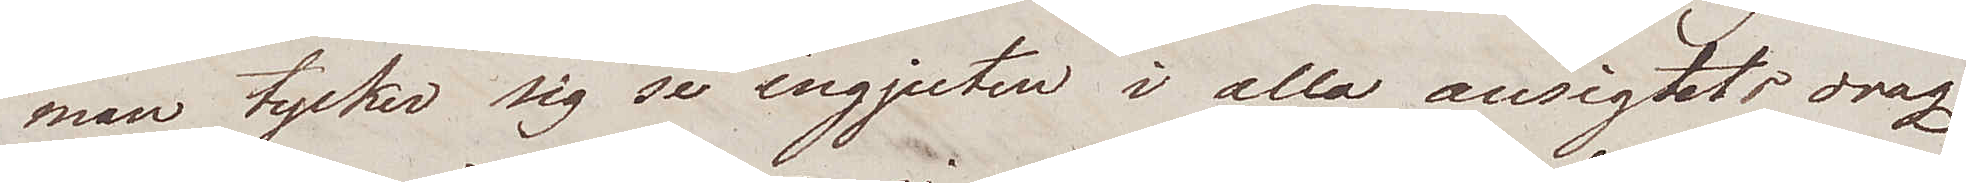man tycker sig se ingjuten i alla ansigtets drag
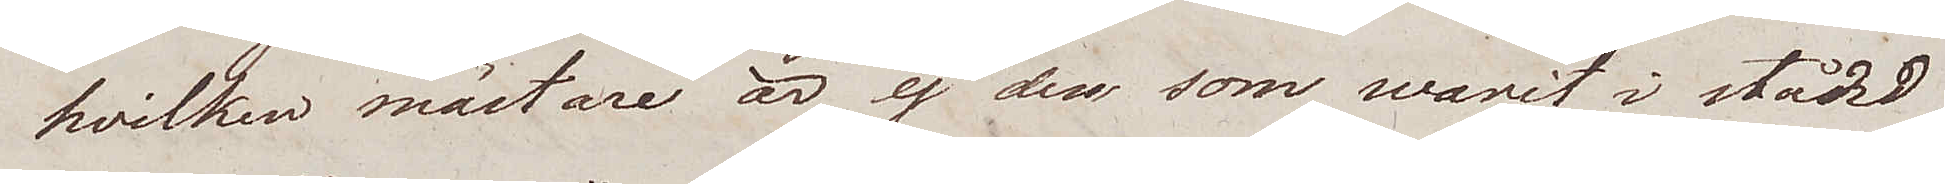hvilken mästare är ej den som warit i stånd
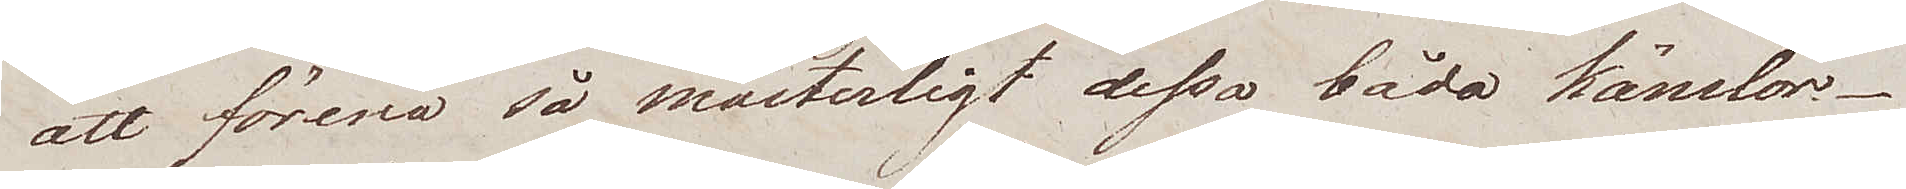att förena så mästerligt dessa båda känslor.
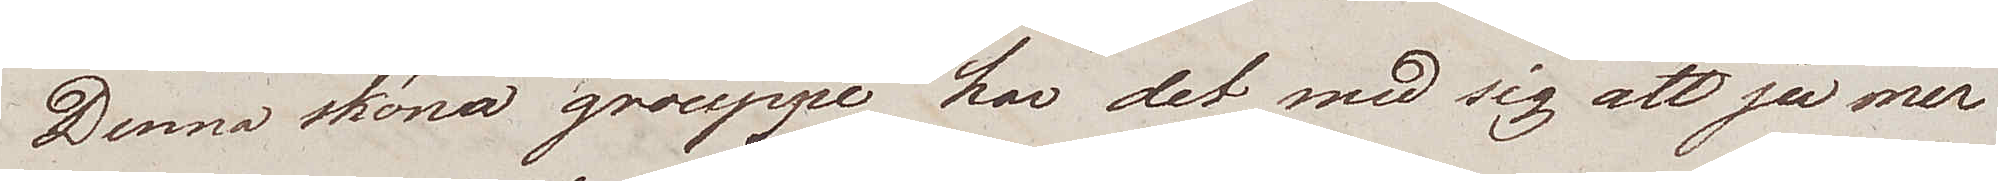Denna sköna grouppe har det med sig att ju mer
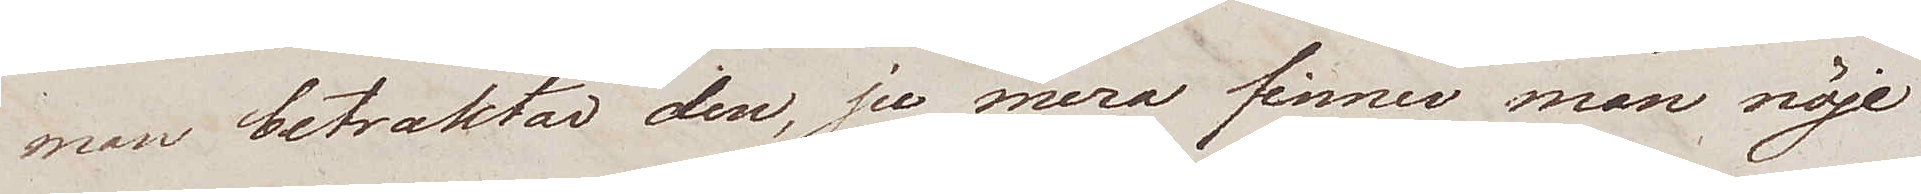man betraktar den, ju mera finner man nöje
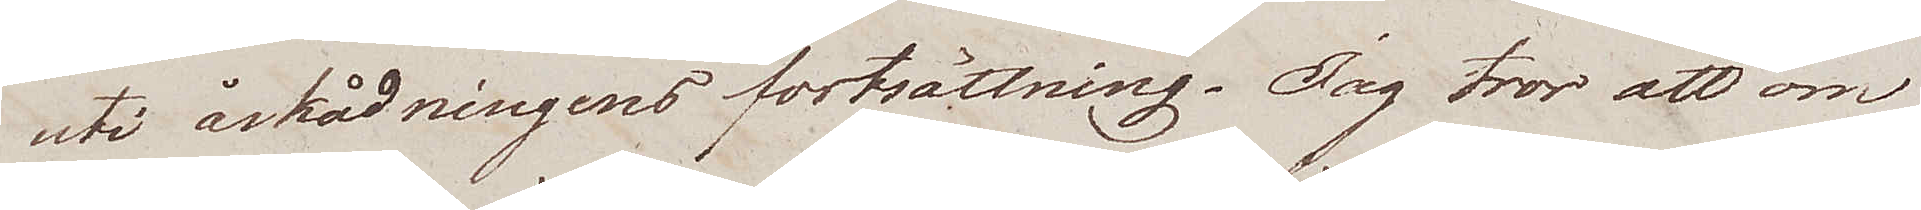uti åskådningens fortsättning. Jag tror att om
